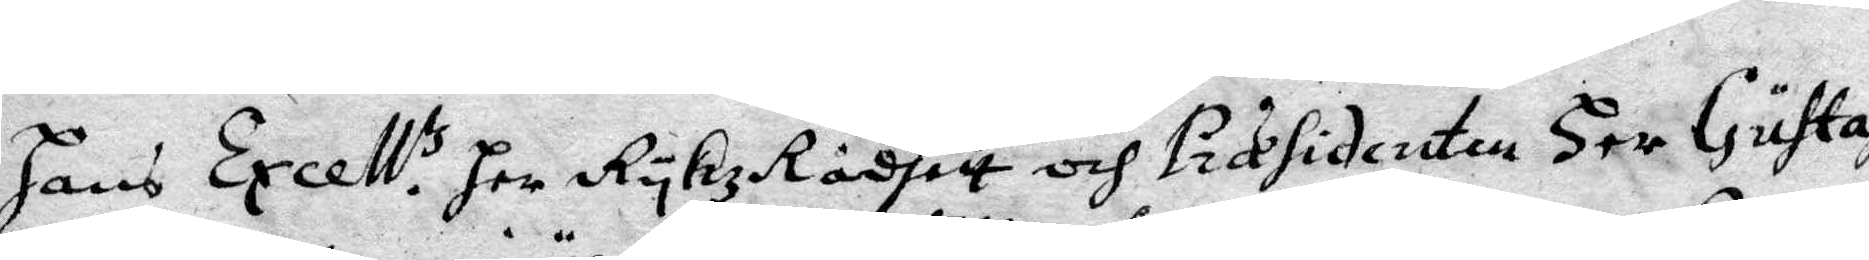hans Excell.tz her RykzRådhett och Præsidenten Her Gustaff Posse
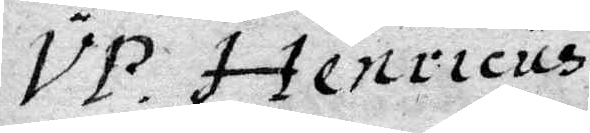VP Henricus
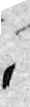2. Gretun i Kritta¬
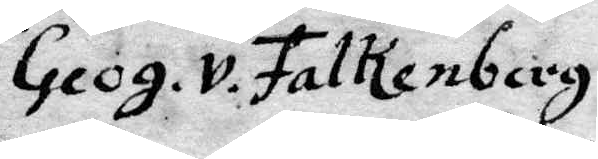Geog. v. Falkenberg
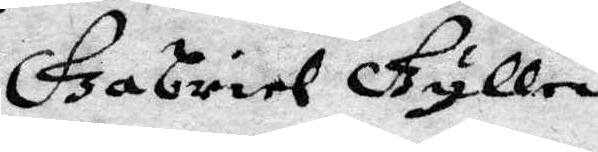Gabriel Gyllengryp
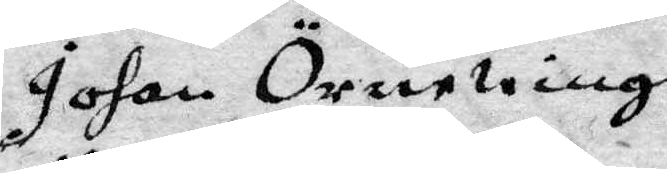Johan Örnewinge
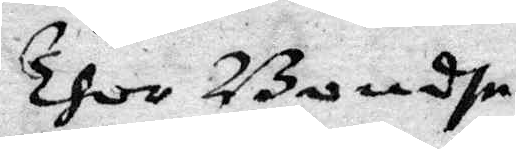Thor Bondhe
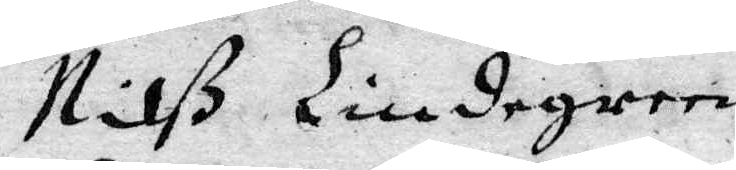Nilß Lindegren
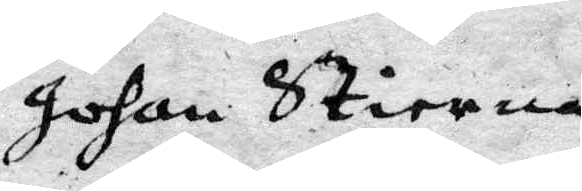Johan Stierna
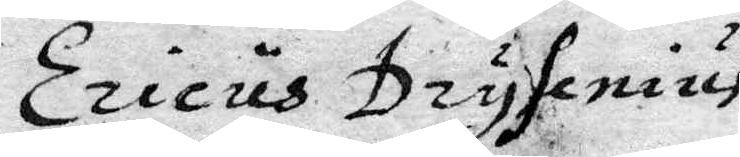Ericus Drysenius
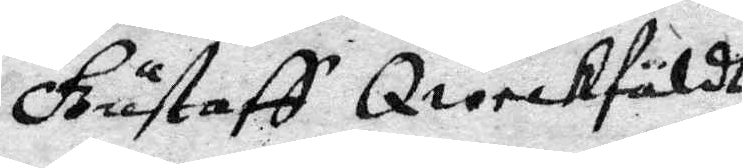Gustaff Qweckfäldt
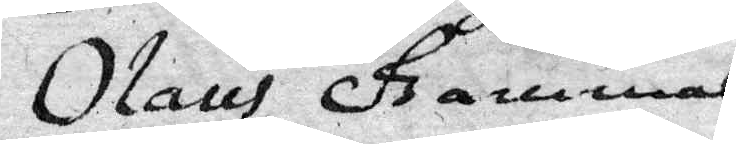Olaus Gammal
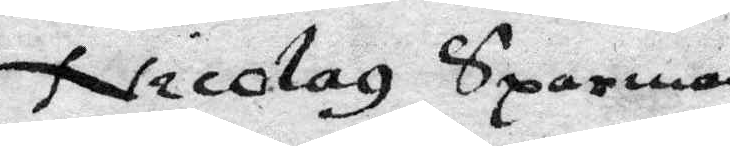Nicolaz Sparman
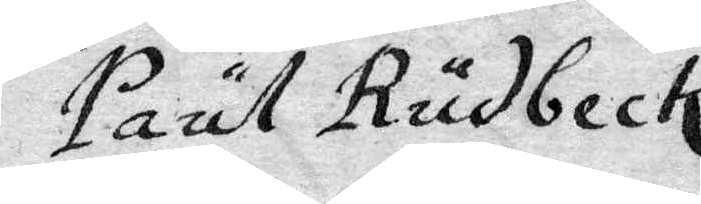Paul Rudbeck
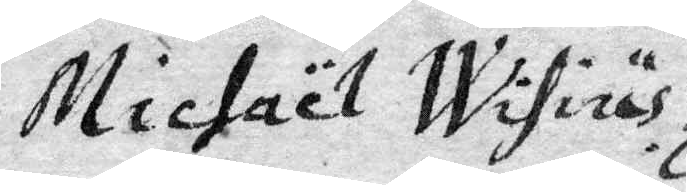Michael Wisinäs
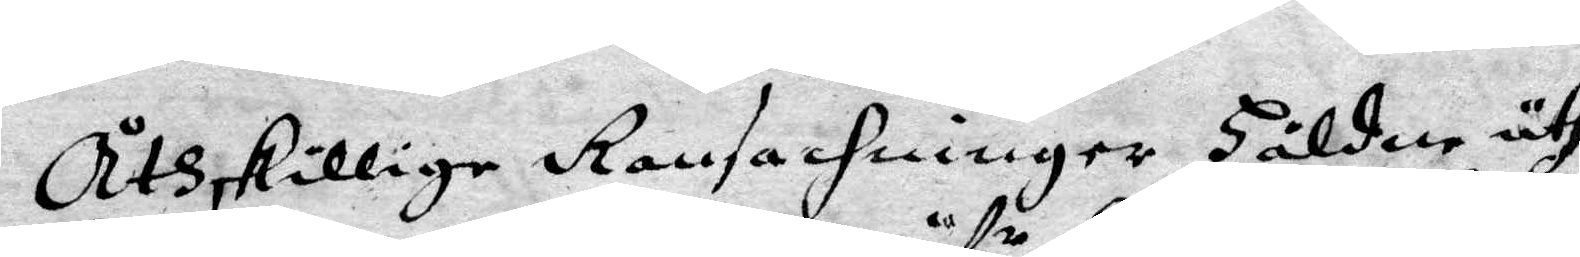Åthskilige Ransackninger Håldne uthi
